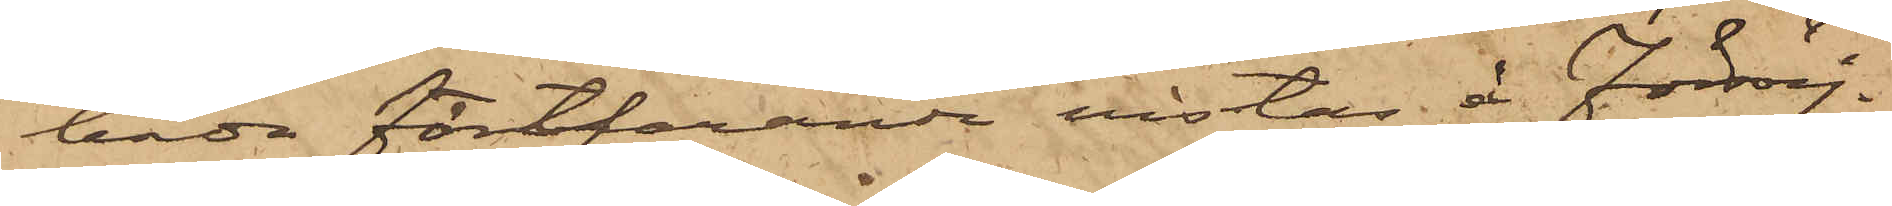båda fortfarande vistas å Försörj¬
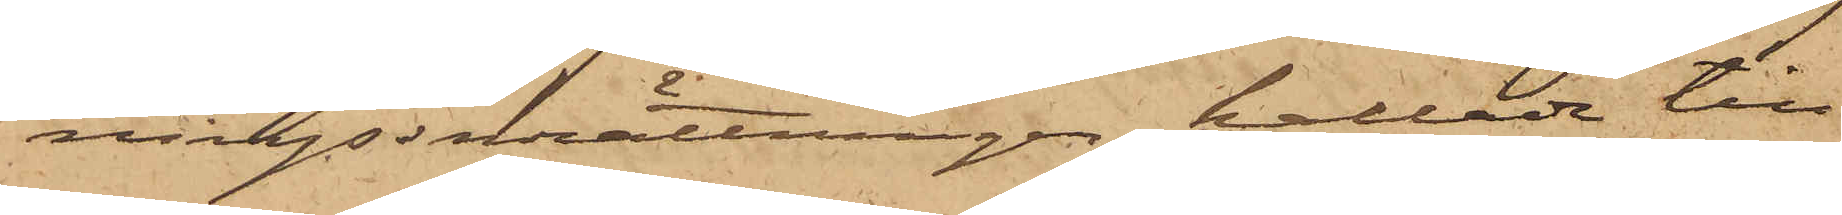ningsinrättningen, kallade till
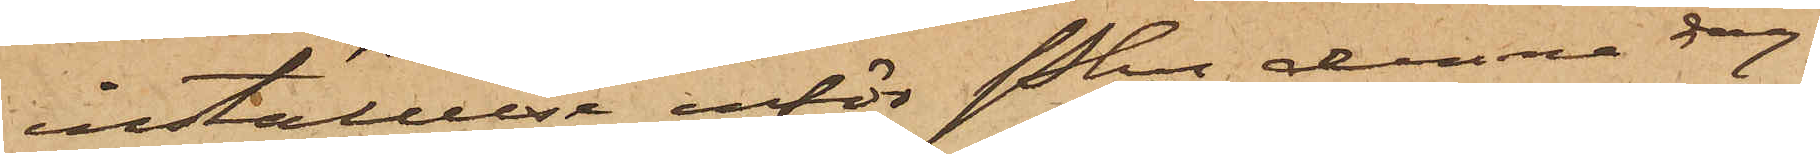inställelse inför Pkn denna dag.
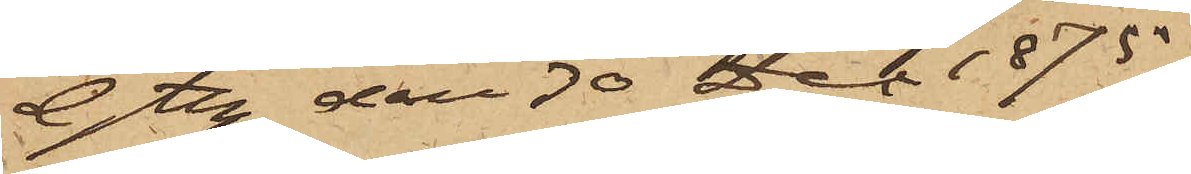Gtbg den 30 Dec 1875.
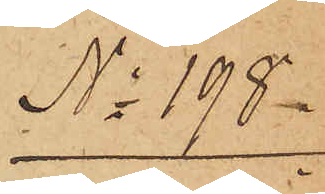No 198
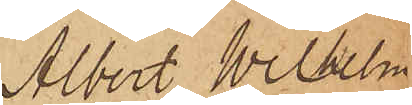Albert Wilhelm
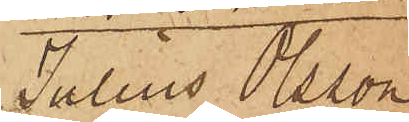Julius Olsson
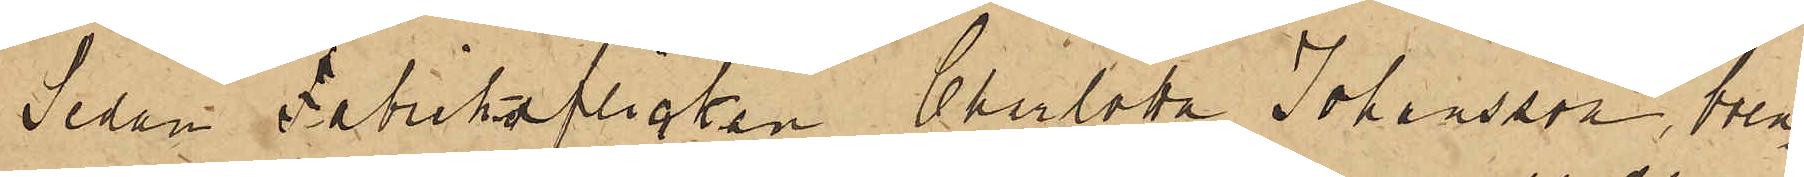Sedan Fabriksflickan Charlotta Johansson, boen¬
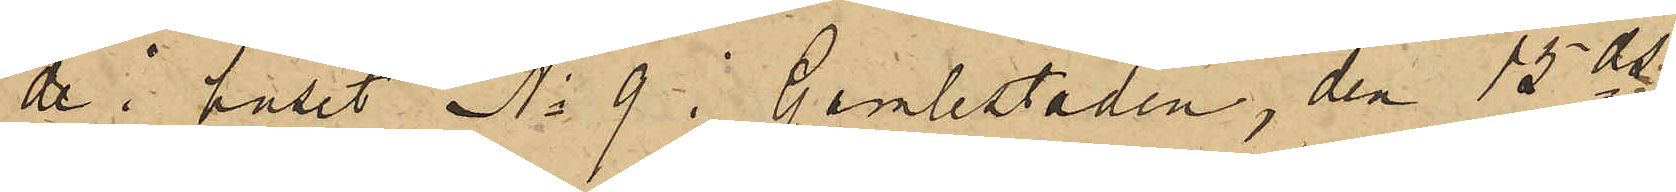de i huset No 9 i Gamlestaden, den 15 ds
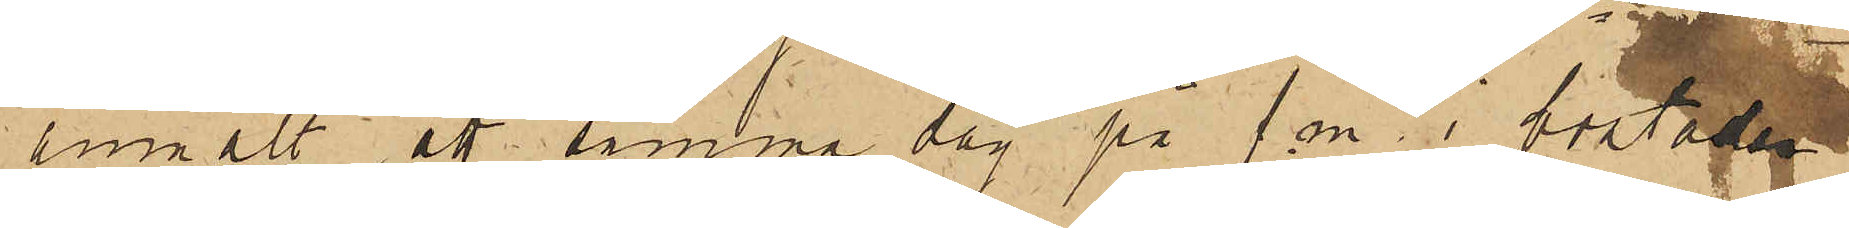anmält, att samma dag på f. m i bostaden
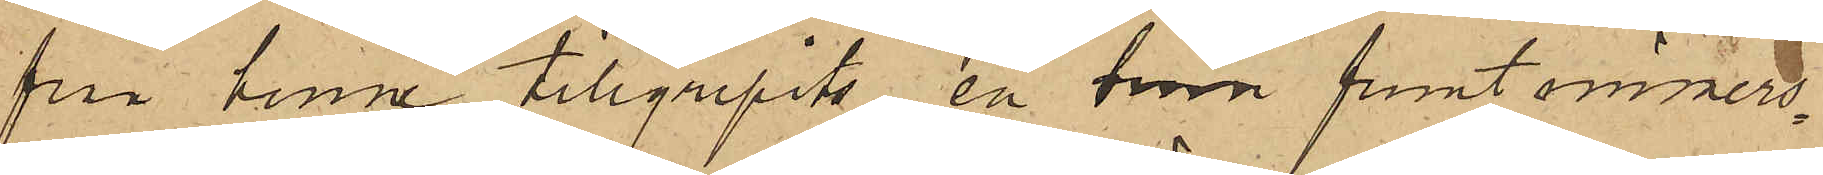från henne tillgripits en tunn svart fruntimmers¬
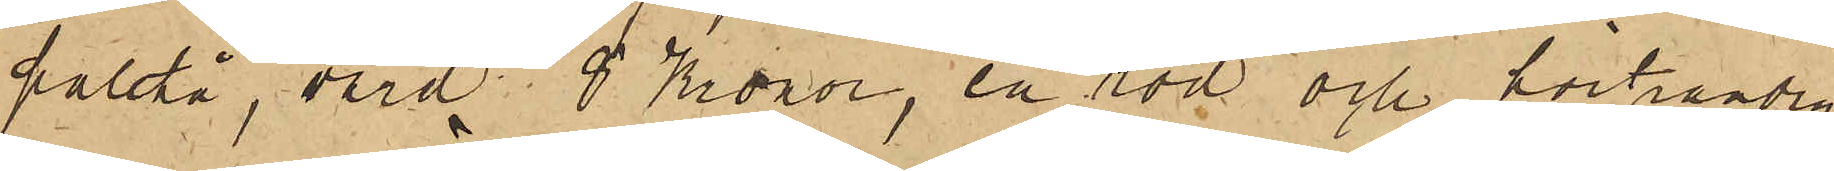paletå, värd 8 Kronor, en röd och hvitrandig
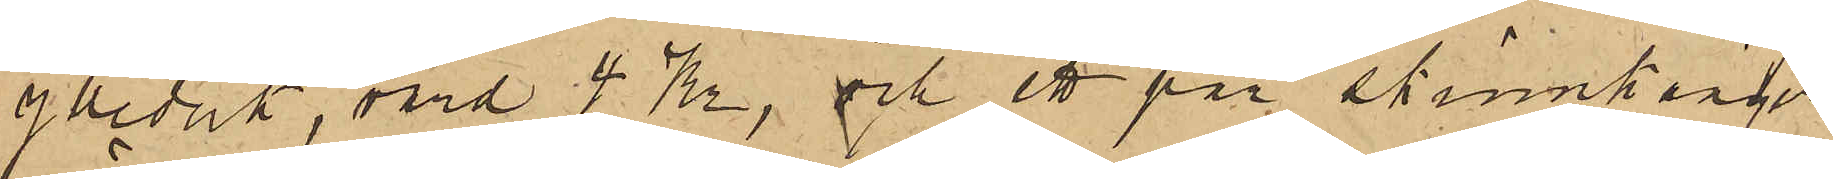ylleduk, värd 4 Kr, och ett par skinnkänger
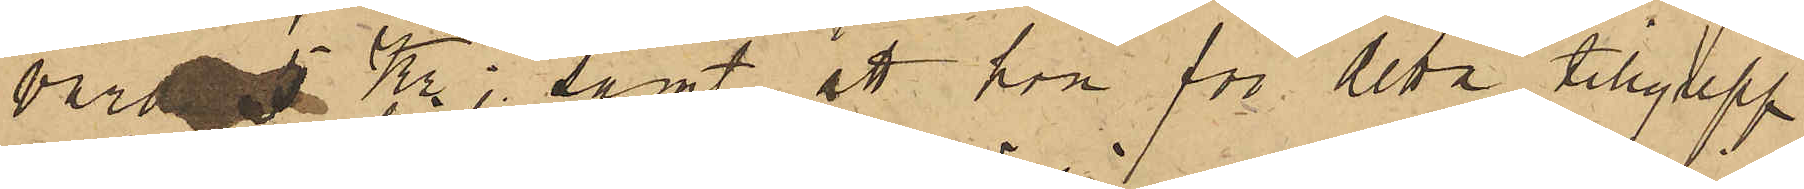värda 5 Kr; samt att hon för detta tillgrepp
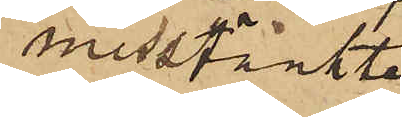misstänkte
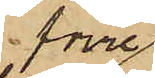förre
